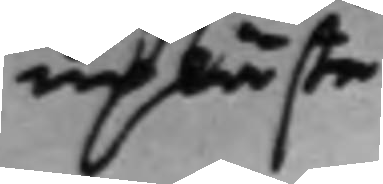upläste
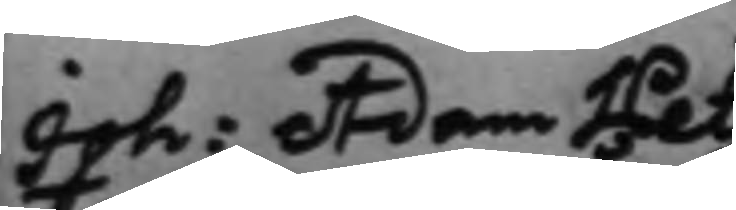Joh: Adam Pet¬
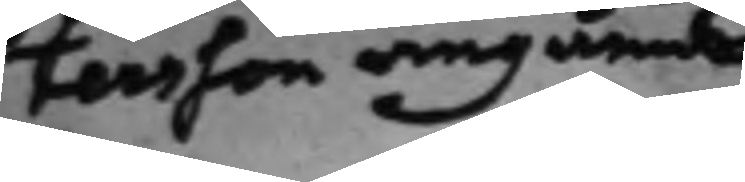tersson angående
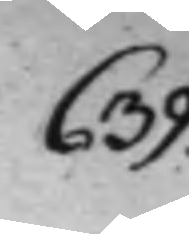639.
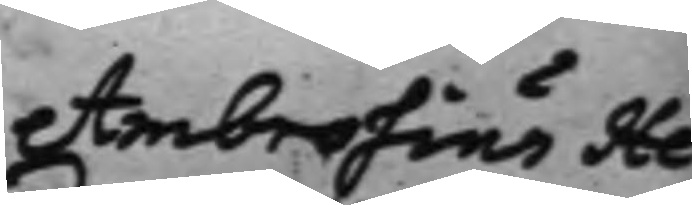Ambrosius He¬
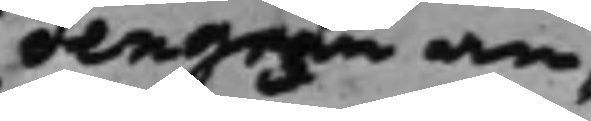dengran an¬
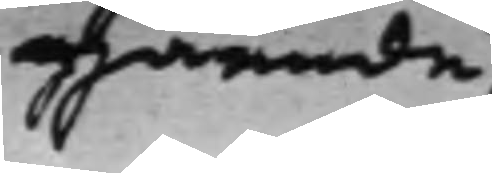gående.
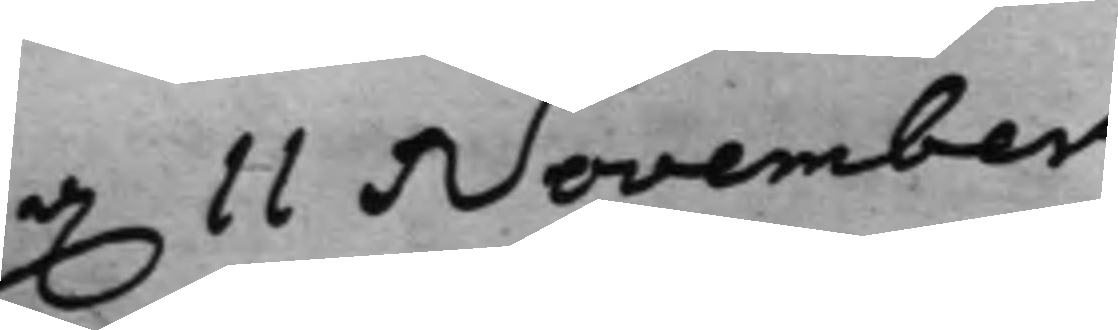d. 11 November
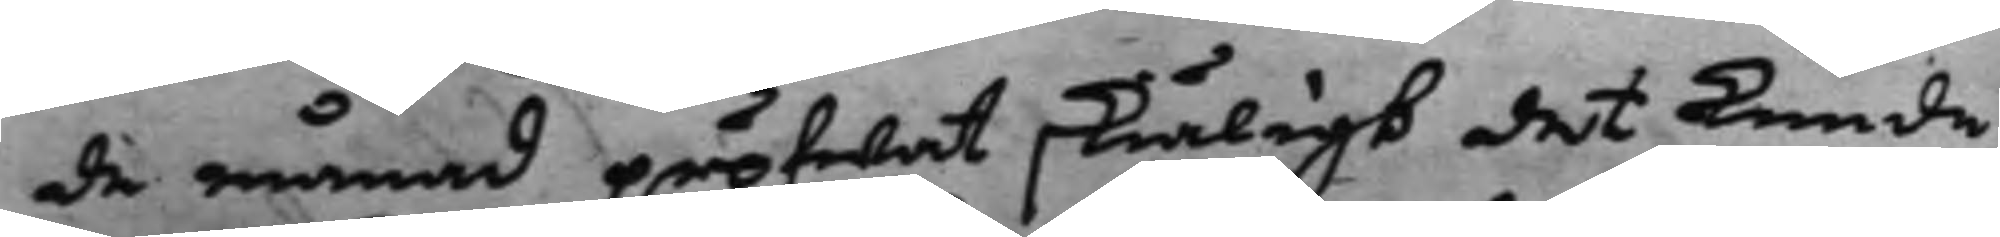de månad pröfwat skiäligt det kunde
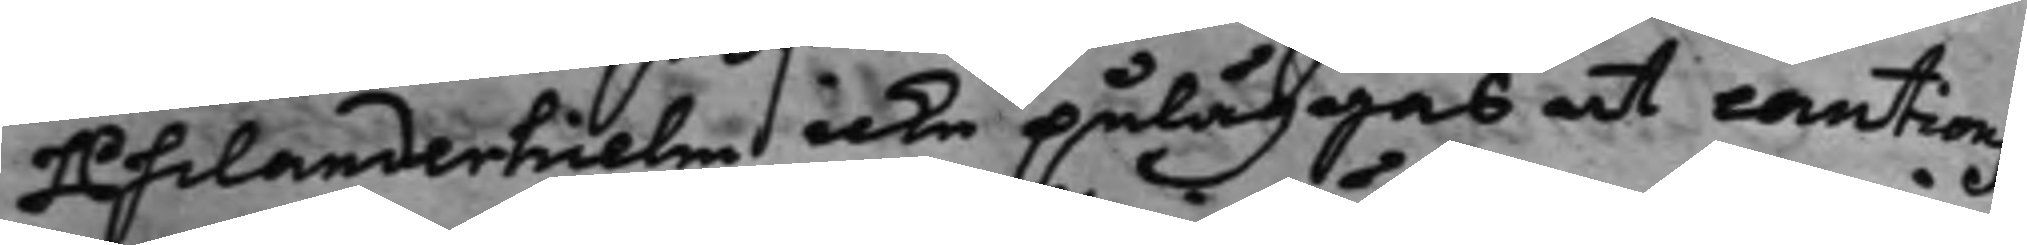Philanderhielm icke påläggas at cautions¬
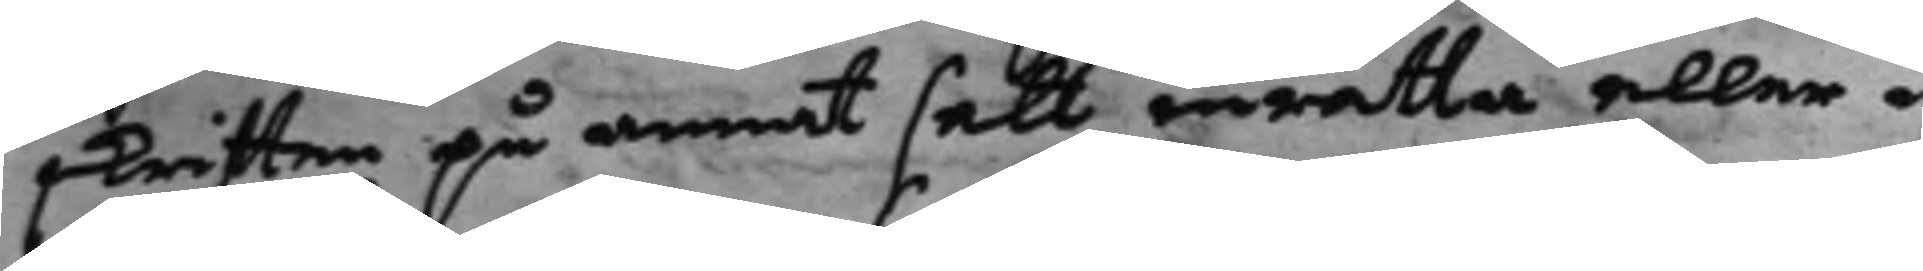skriften på annat sätt inrätta eller i
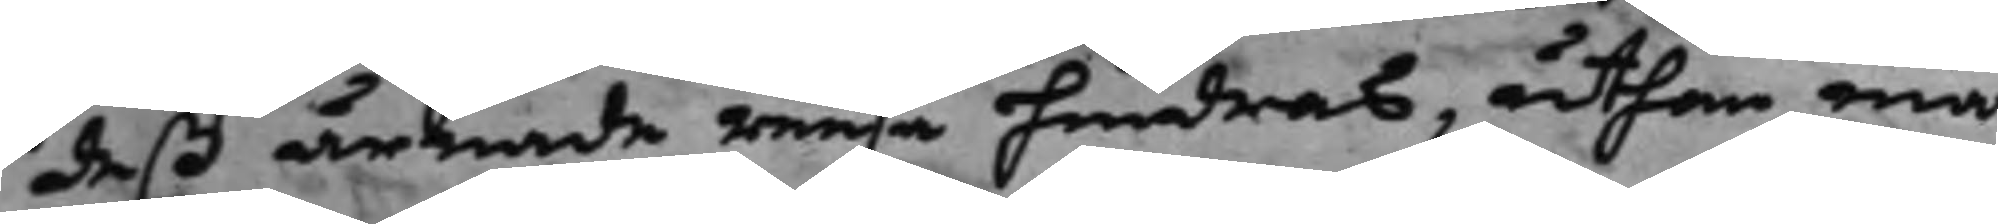deß ärende resa hindras, uthan må
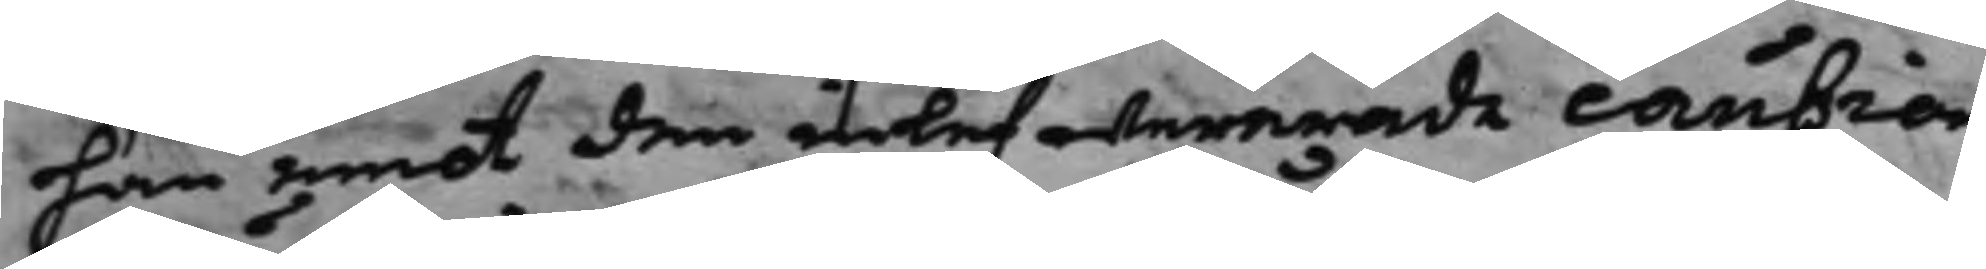han emot den inlefwererade caution
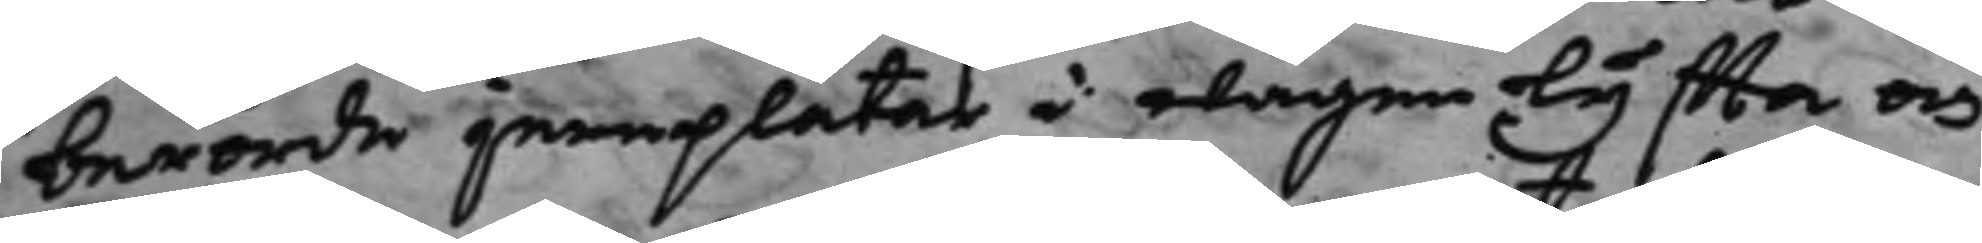berörde jemplåtar i wågen lyffta och
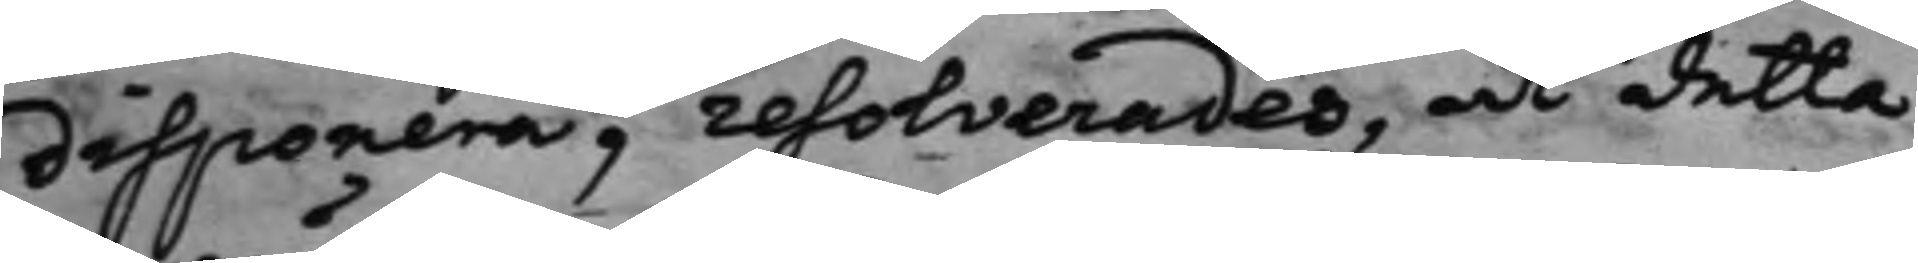disponera, resolverades, at detta
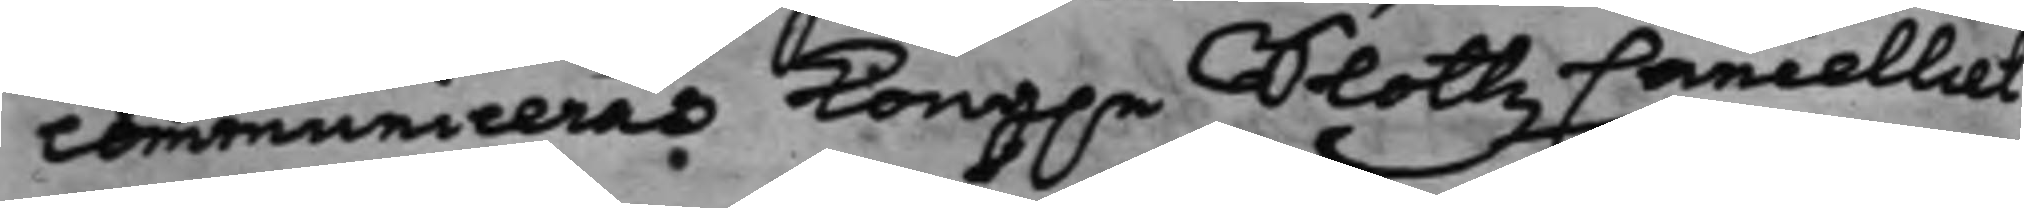communiceras Kong.e Slottz Cancelliet
